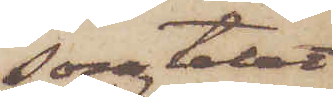som talar
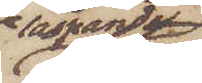läspande
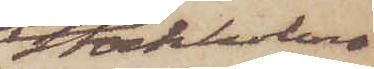stockholms¬
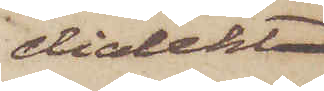dialekt
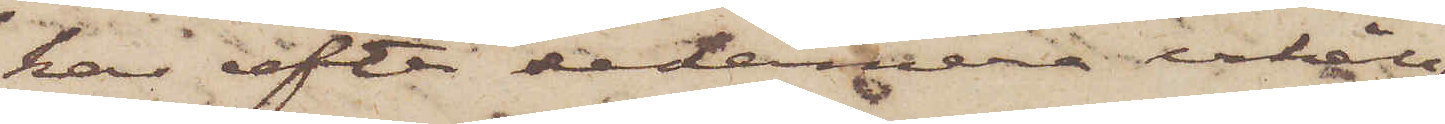har efter sedermera erhåll¬
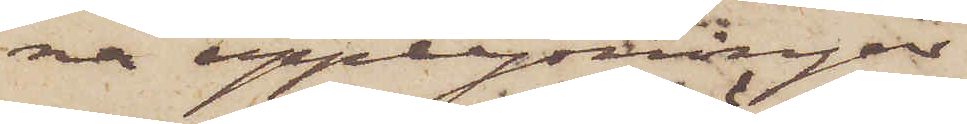na upplysningar
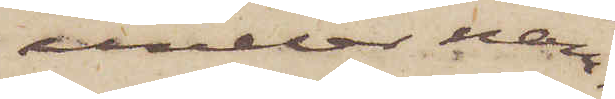under nam¬
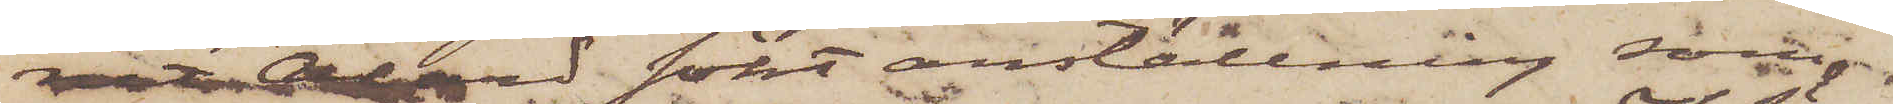net Alard sökt anställning som
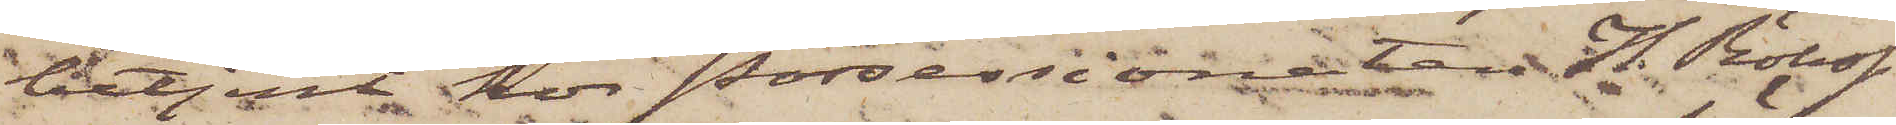betjent hos Possessionaten H. Röhss
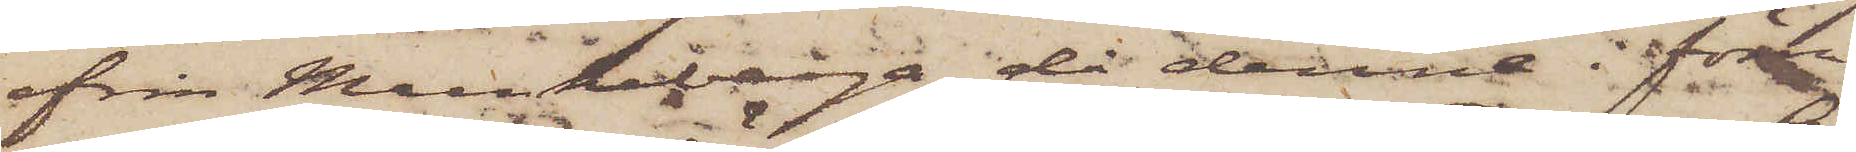från Munkeberga, då denne i förra
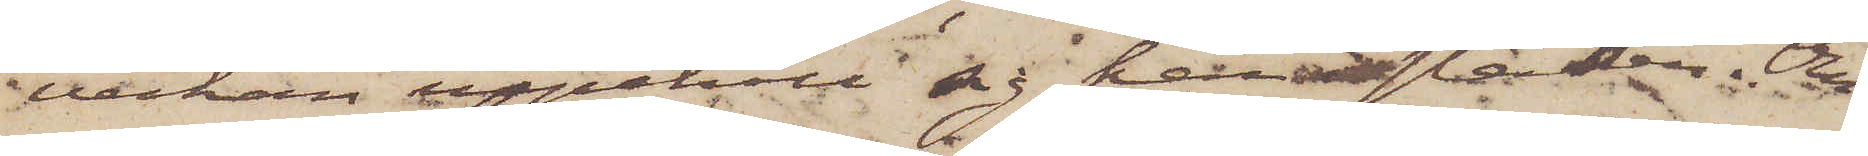veckan uppehöll sig här i staden. Om
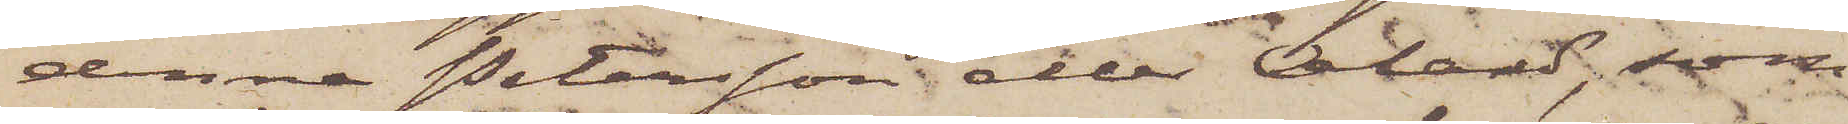denna Petersson eller Alard, som
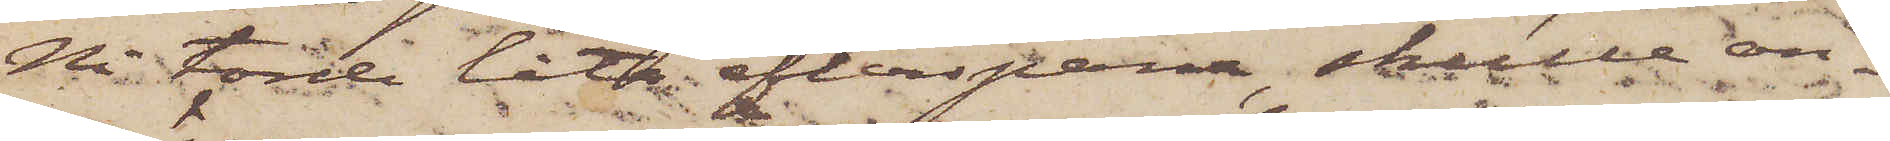Ni torde låta efterspana, skulle an¬
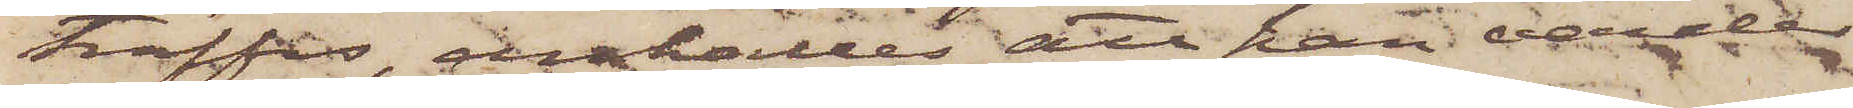träffas, anhålles att han varder
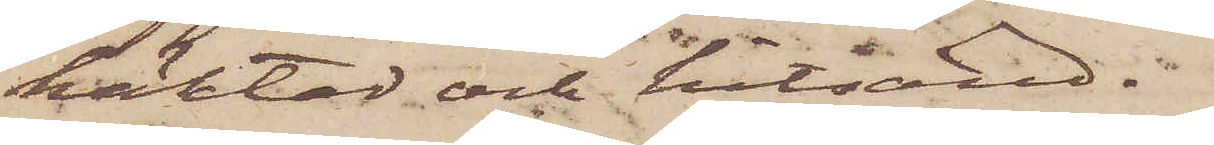häktad och hitsänd.
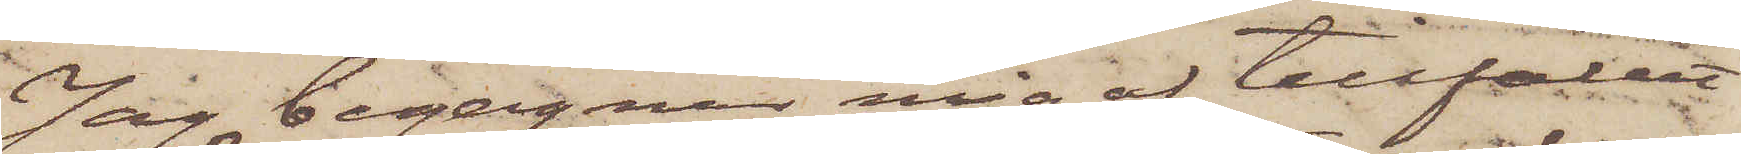Jag begagnar mig af tillfället
